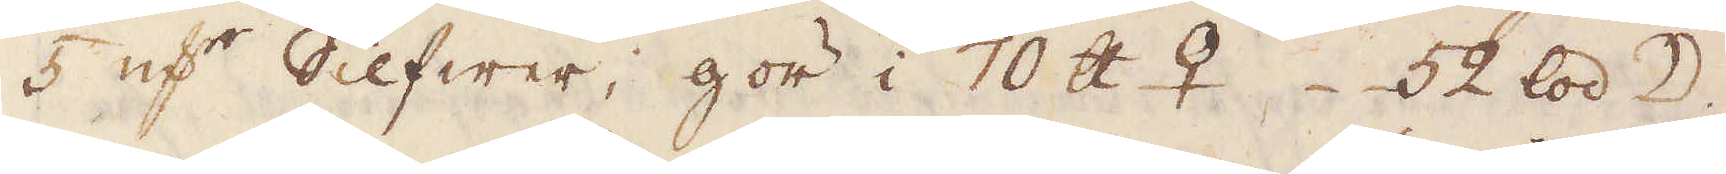5 qv:r Silfwer, gör i 70 skålpund ♀ 52 lod ☽.
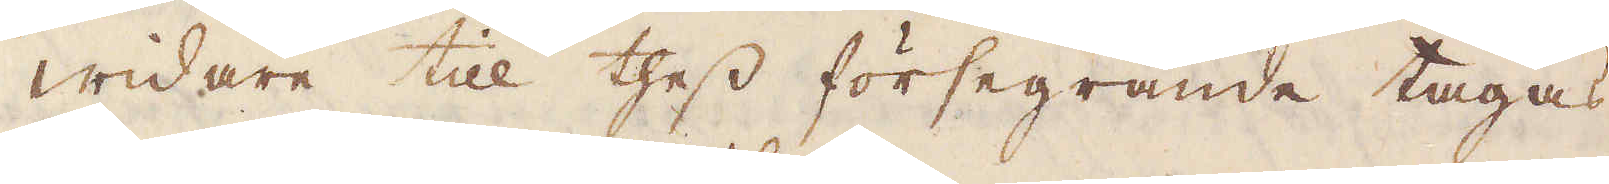Widare till thess försegrande tagas,
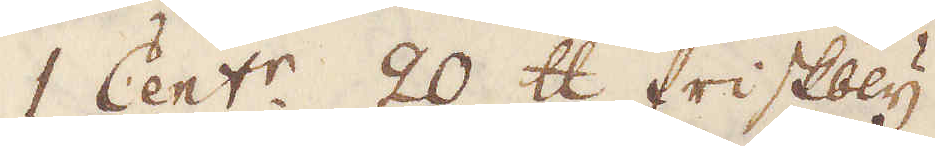1 Cent:r 20 skålpund friskbly
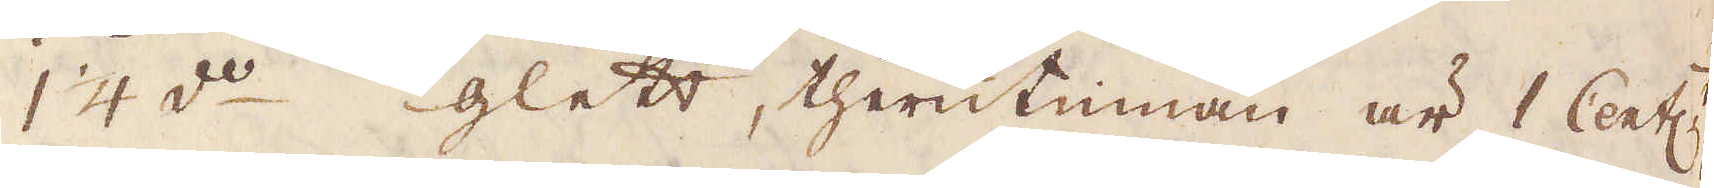1 1/4 d:o glett, therutinnan är 1 Cent ♄
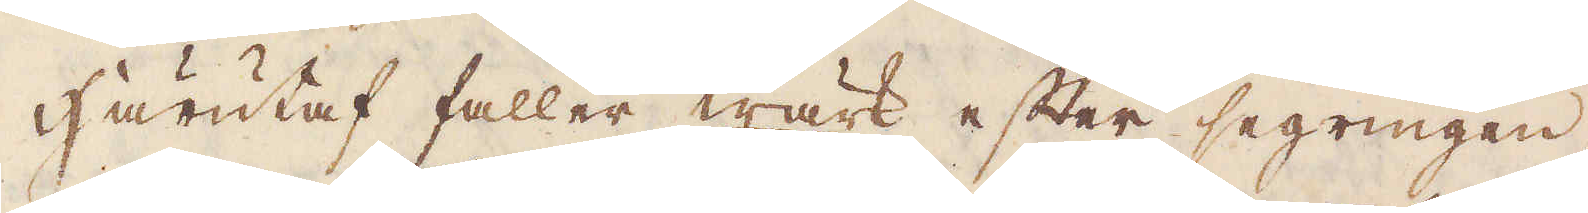Härutaf faller wärk efter segringen,
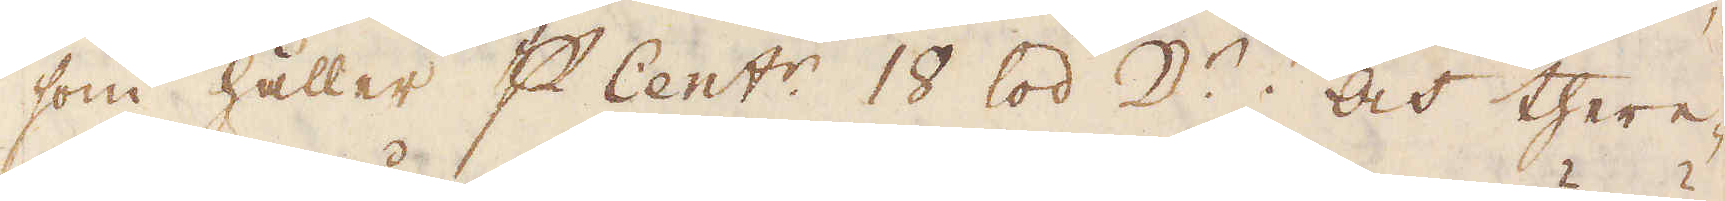som håller p Cent:r, 18 lod D:r, och there-
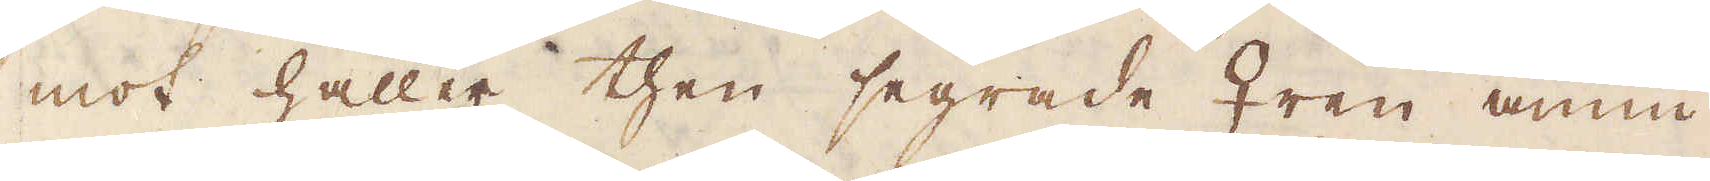mot håller then segrade ♀ren ännu
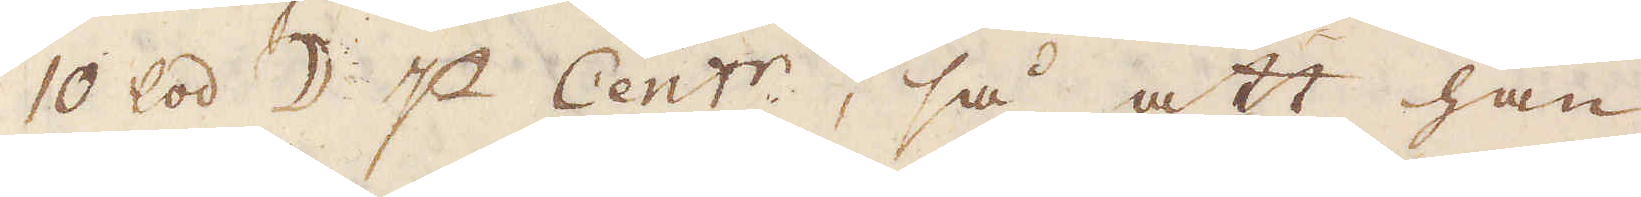10 lod ☽ p Cent:r, så att han
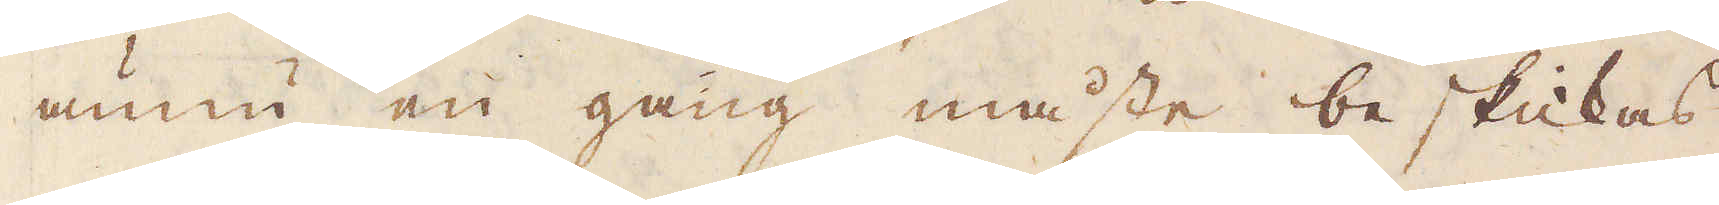ännu en gång måste beskickas
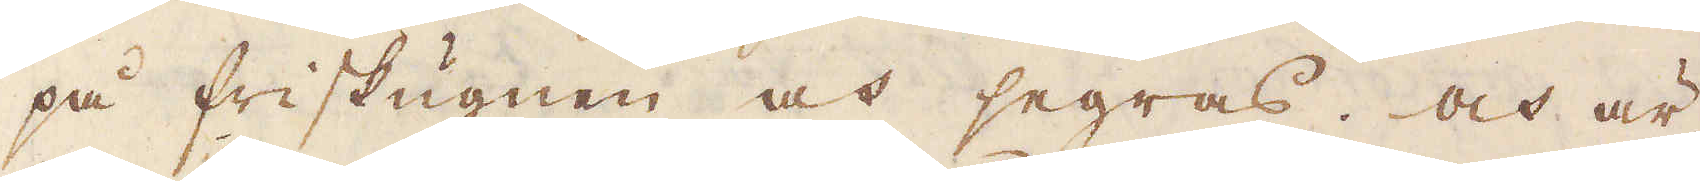på friskugnen och segras. Och är
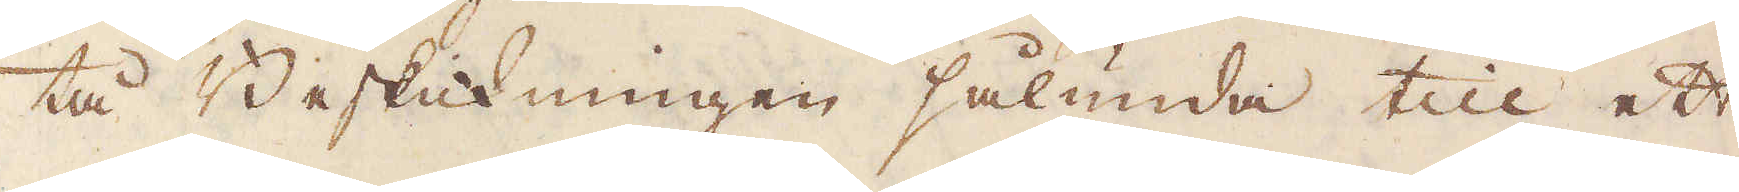tå Beskickningen sålunda till ett
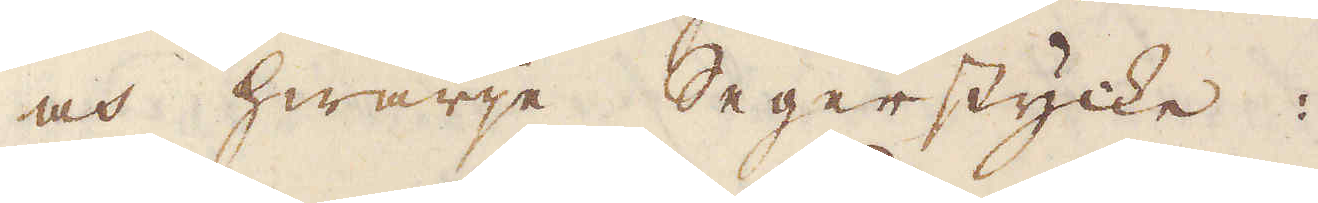och hwarje Segerstycke:
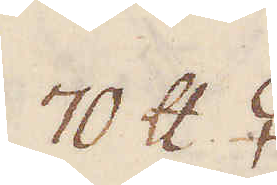70 skålpund ♀
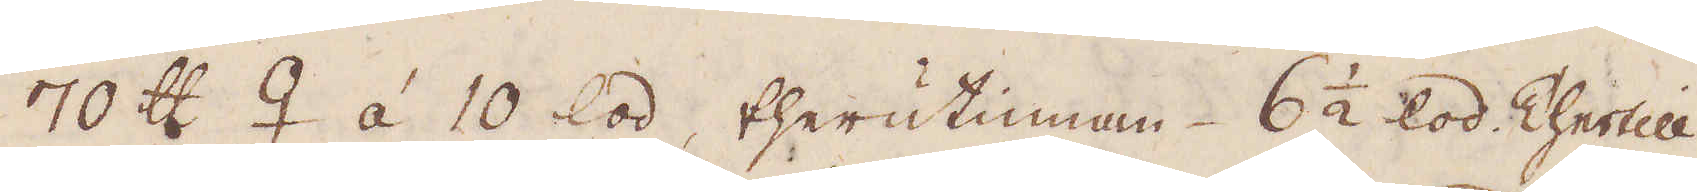70 skålpund ♀ à 10 lod, therutinnan 6 1/2 lod. Thertill
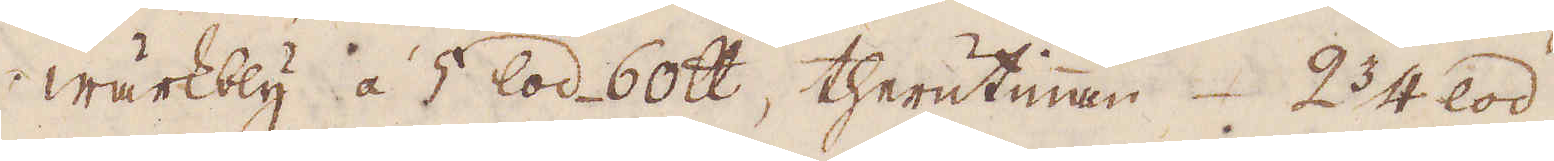wärkbly á 5 lod 60 skålpund, therutinnan 2 3/4 lod
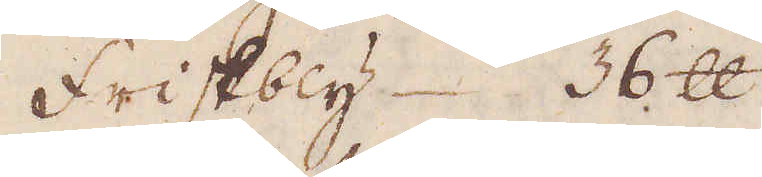Friskbly. 36 skålpund.
